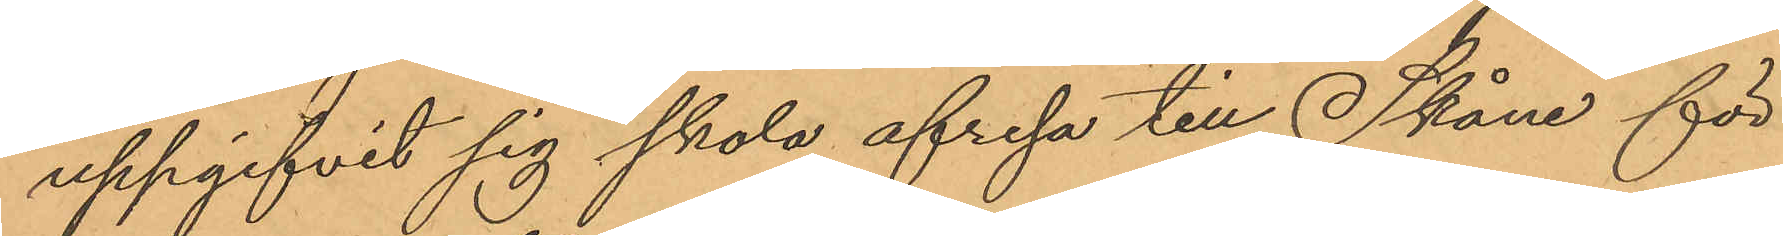uppgifvit sig skola afresa till Skåne för
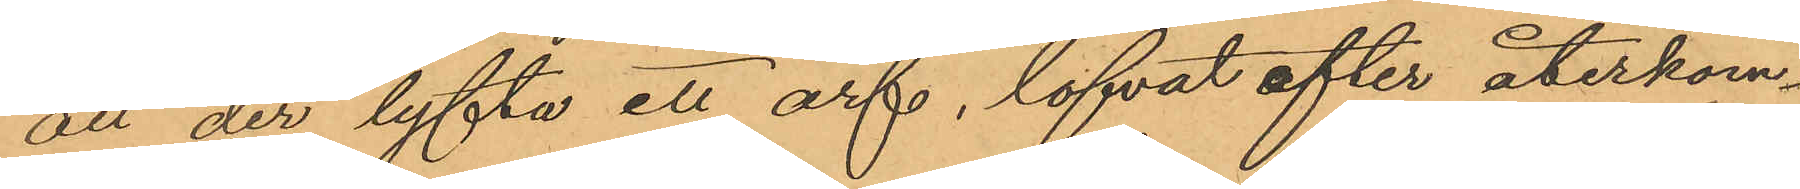att der lyfta ett arf, lofvat efter återkom¬
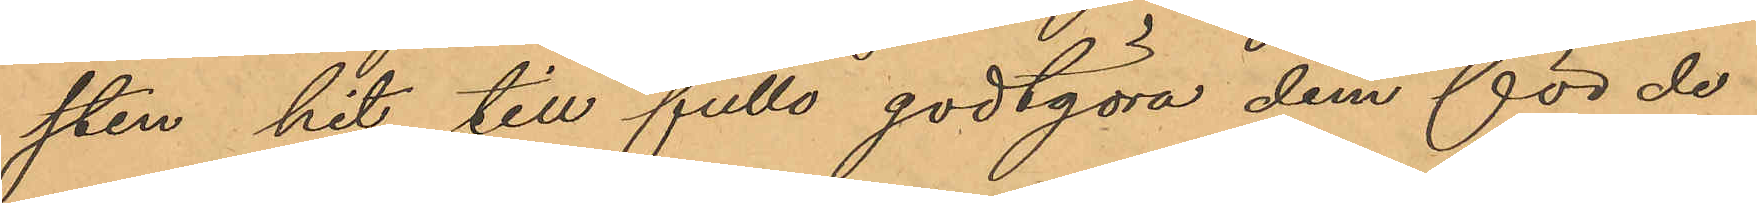sten hit till fullo godtgöra dem för de
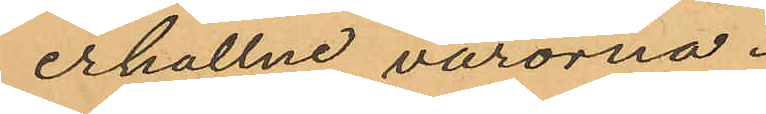erhållne varorna.
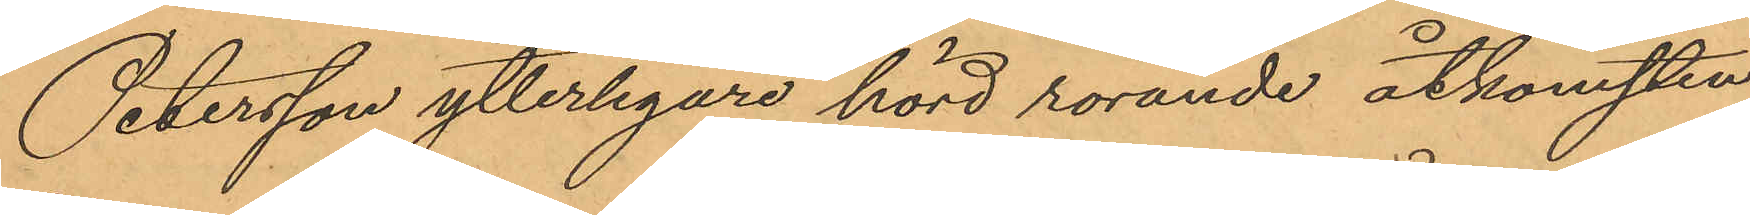Petersson ytterligare hörd rörande åtkomsten
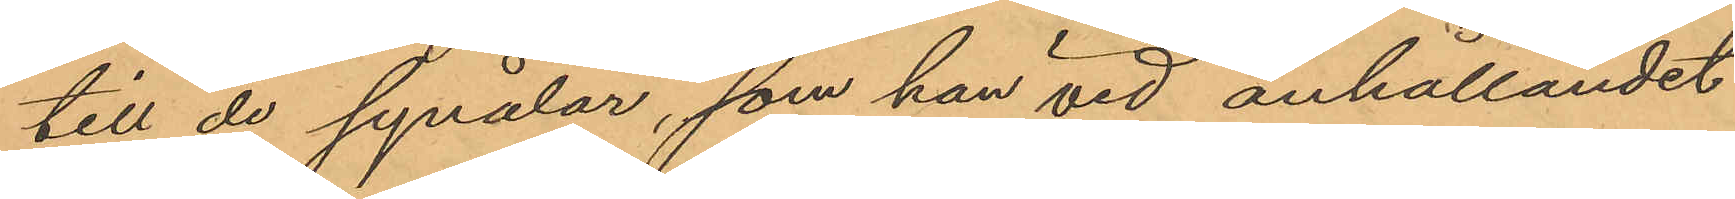till de synålar, som han vid anhållandet
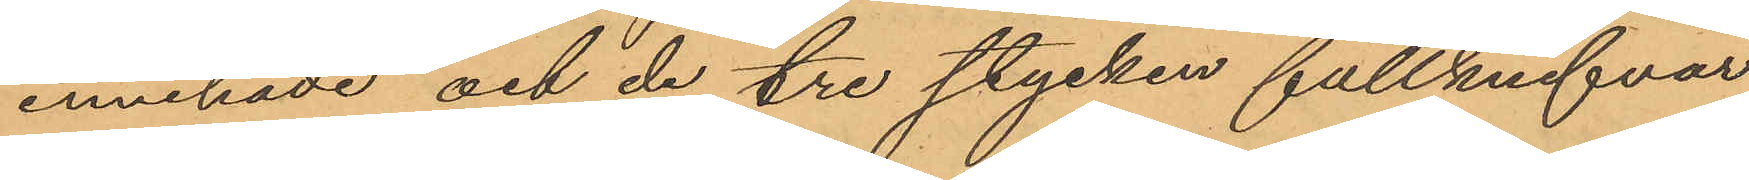innehade och de tre stycken fällknifvar
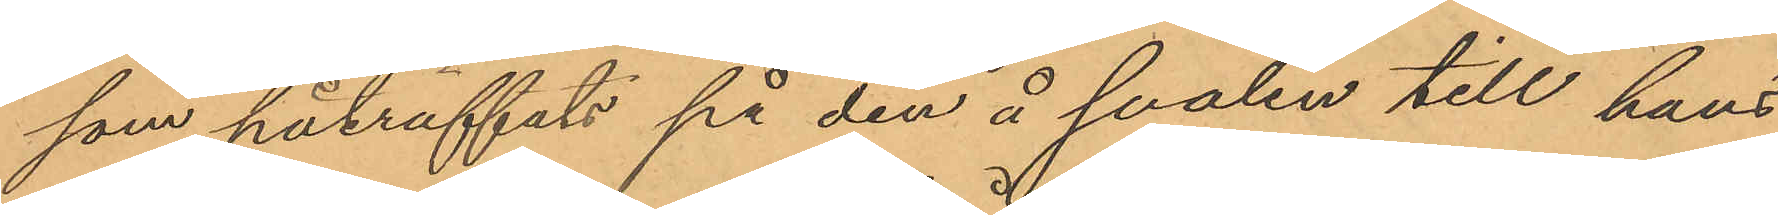som påträffats på den å svalen till hans
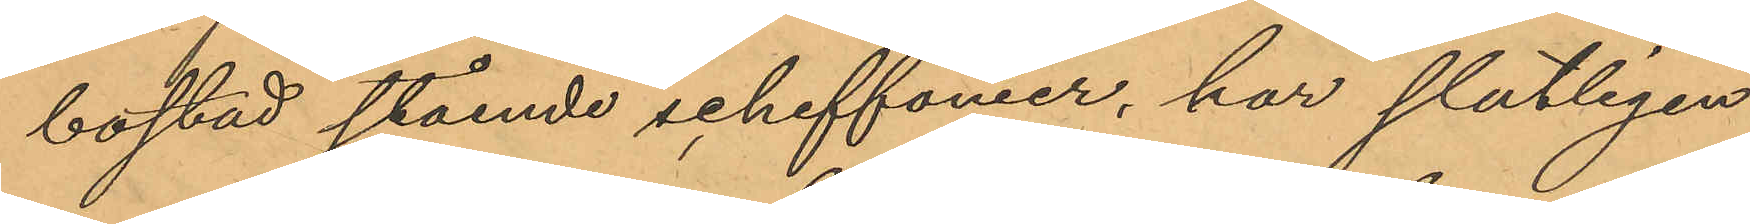bostad stående schiffonier, har slutligen
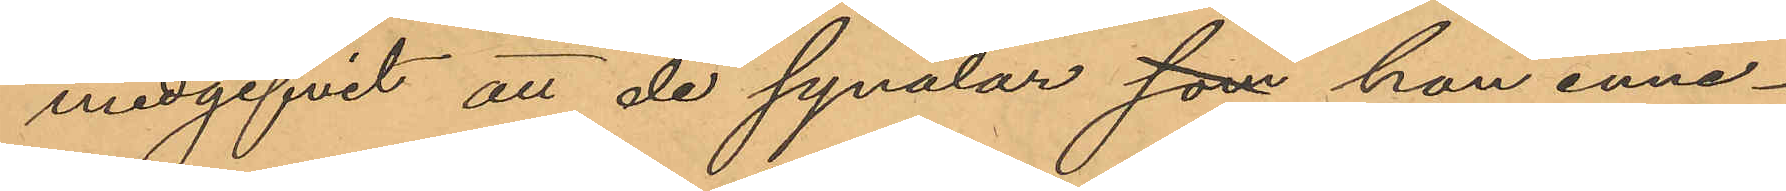medgifvit att de synålar som han inne¬
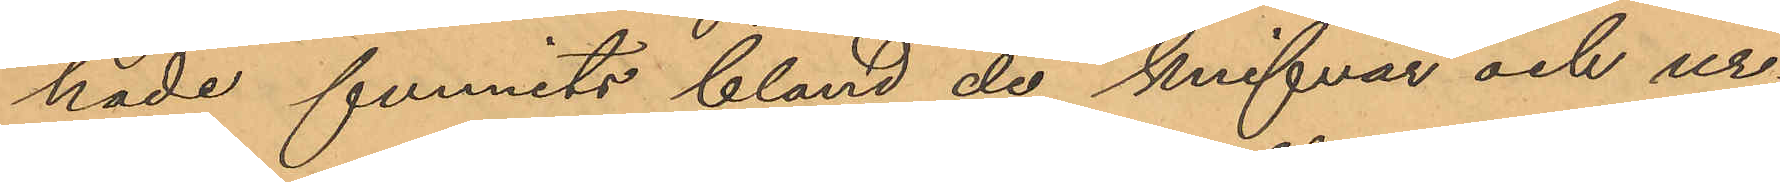nade funnits bland de knifvar och ur¬
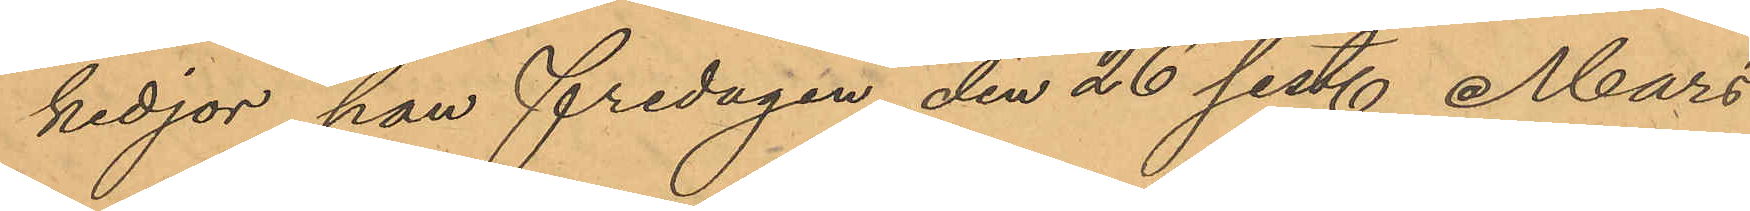kedjor han fredagen den 26 sist. Mars
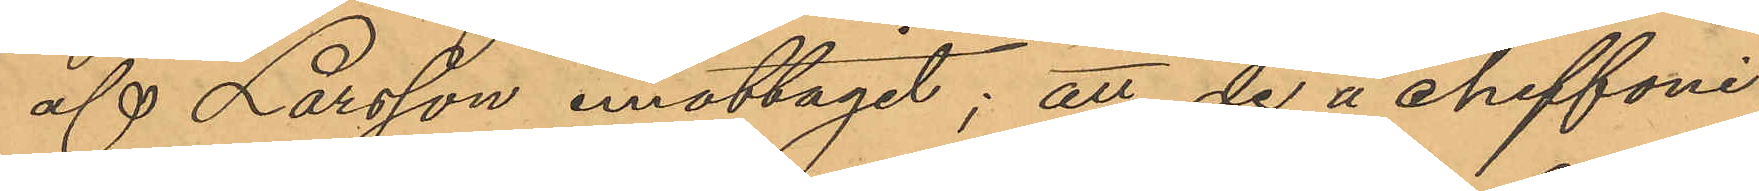af Larsson emottagit; att de å chiffoni¬
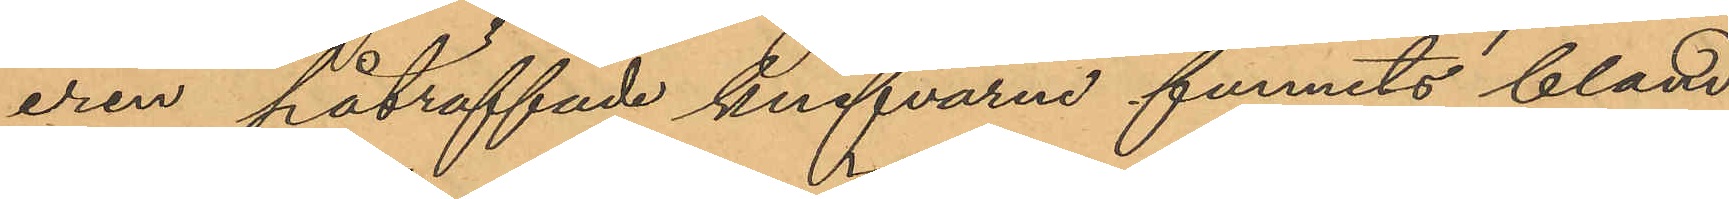eren påträffade knifvarne funnits bland
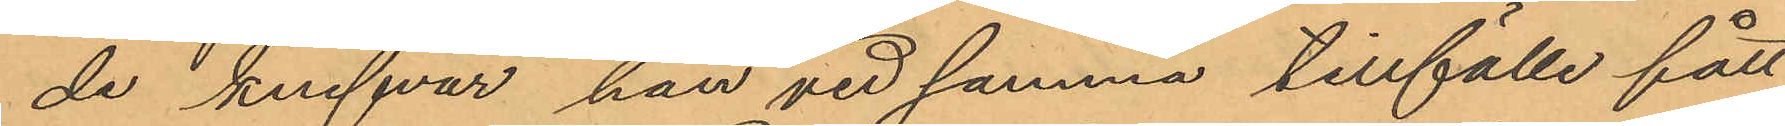de knifvar han vid samma tillfälle fått
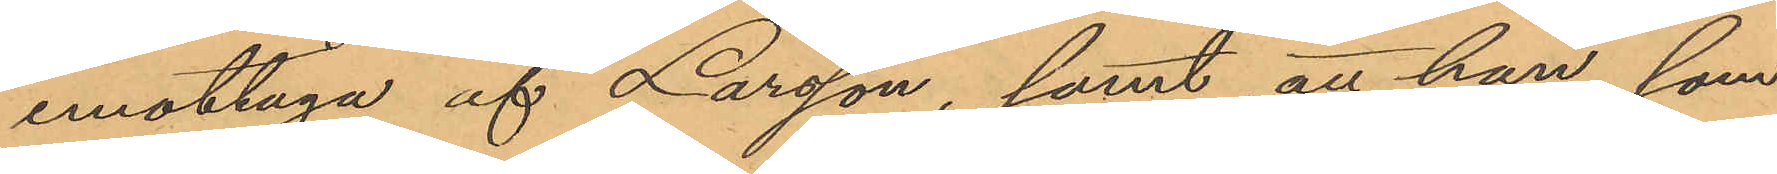emottaga af Larsson, samt att han, som
